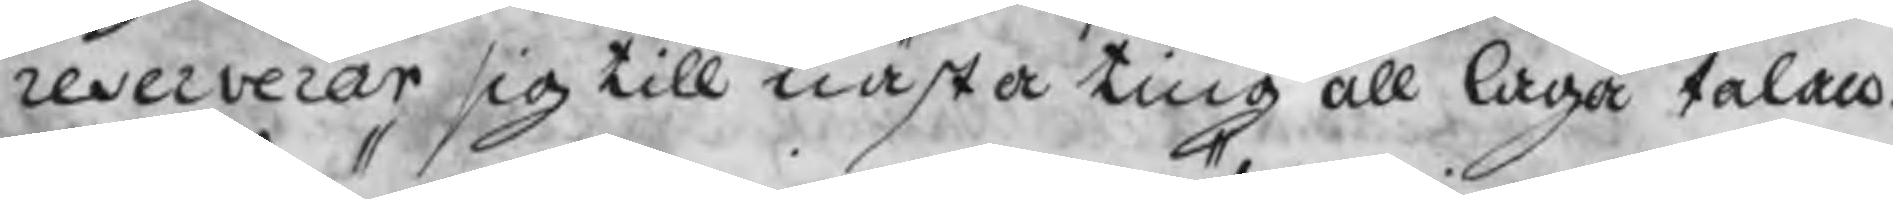reserverar, sig till nästa ting all laga talan.
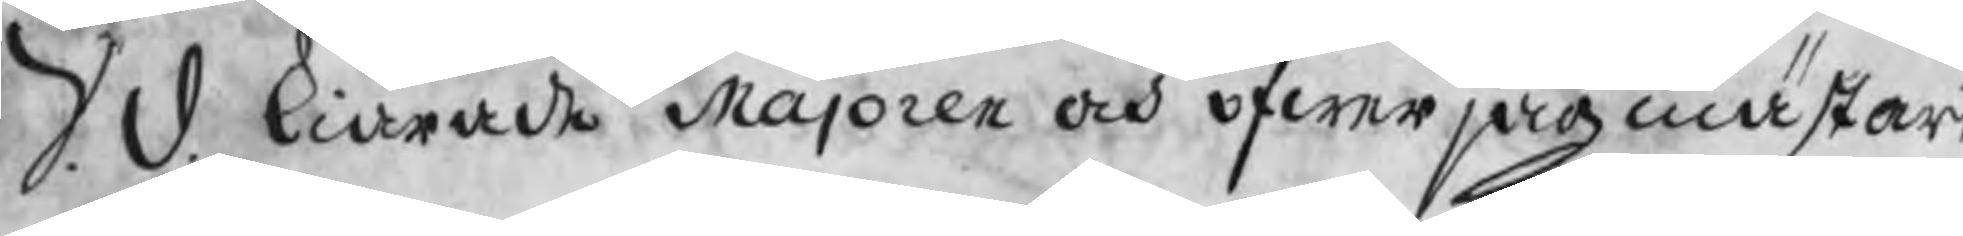S. d. kiärade Majoren och öfwerjagmästar
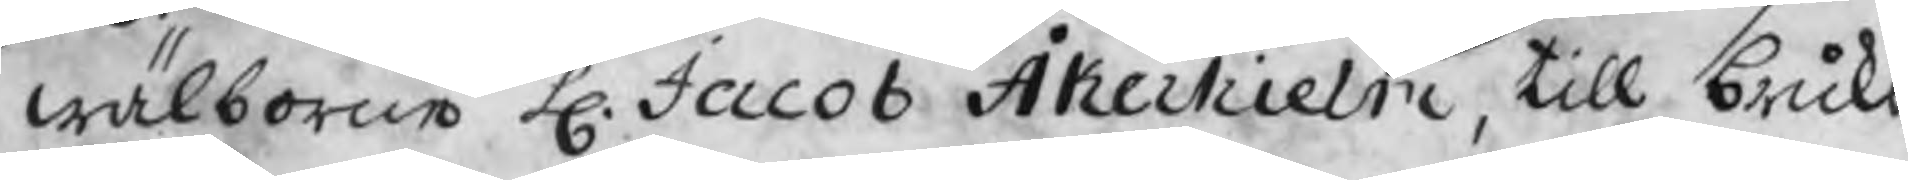wälborne H. Jacob Åkerhielm, till bruks
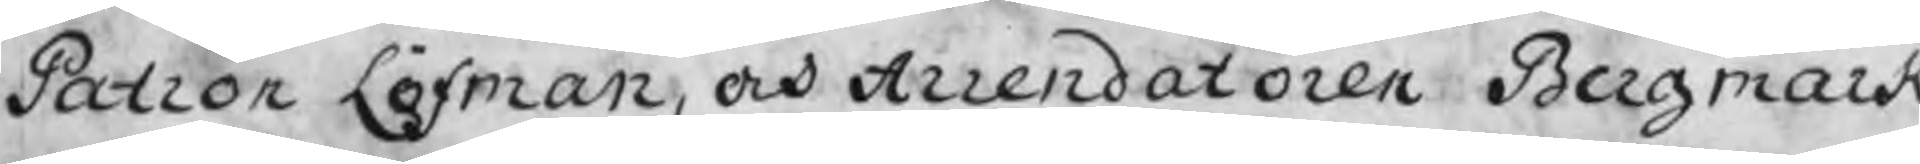Patron Löfman, och Arrendatoren Bergmark
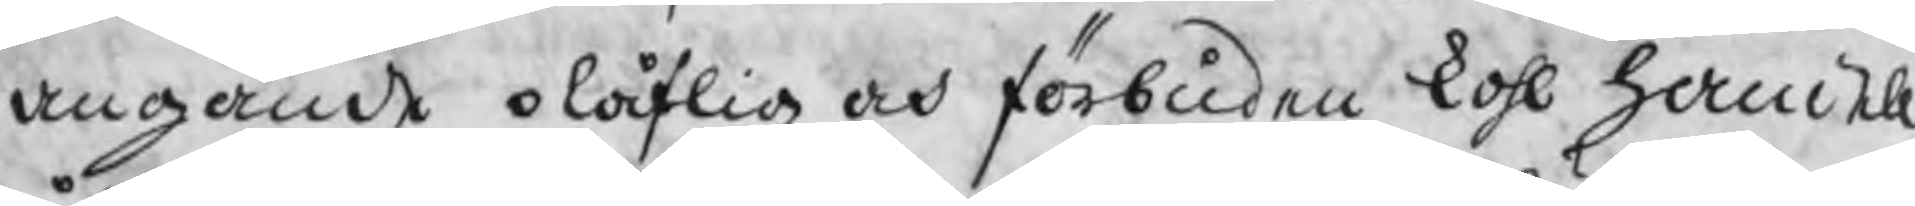angående olåflig och förbuden kohl handel
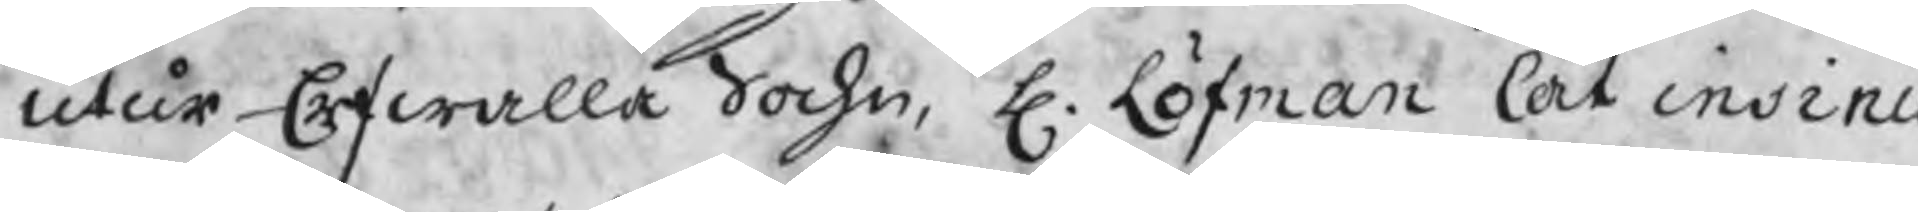utur Erfwalla Sochn, H. Löfman lät insinu
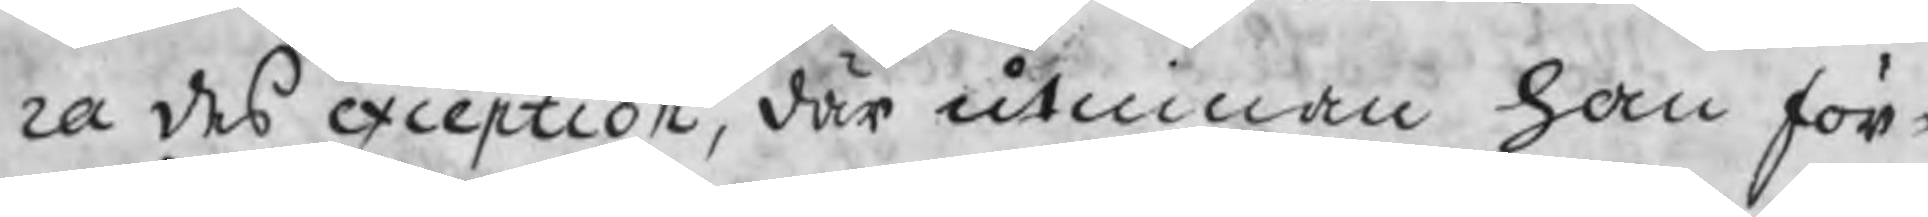ra des exception, där utinnan han för¬
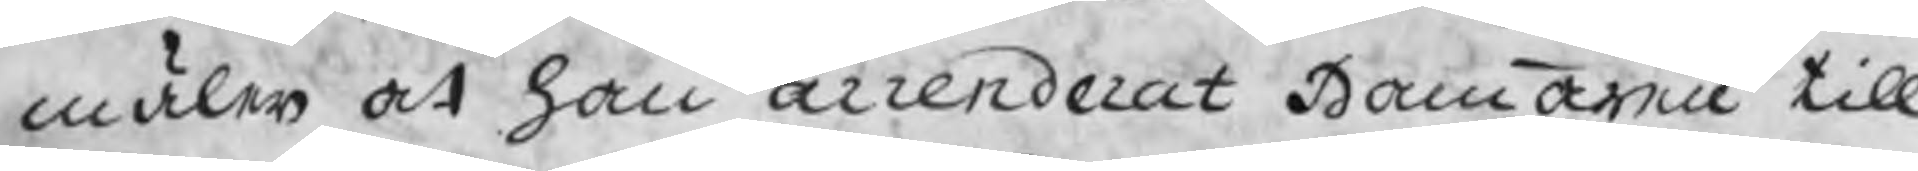mäler at han arrenderat Hammaren till
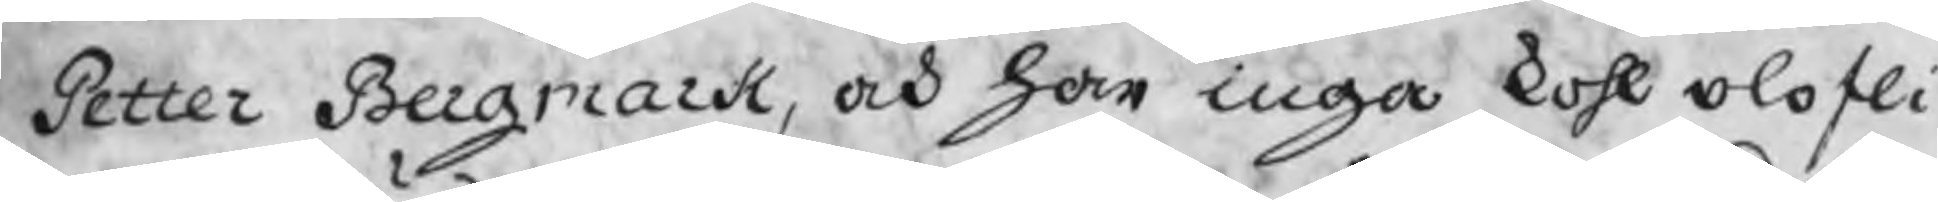Petter Bergmark, och han inga kohl olofli-
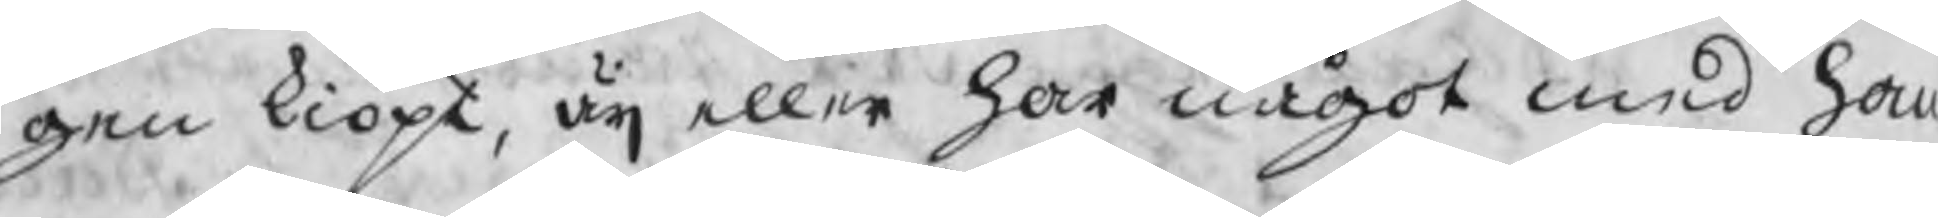gen kiöpt, äij eller har något med ham
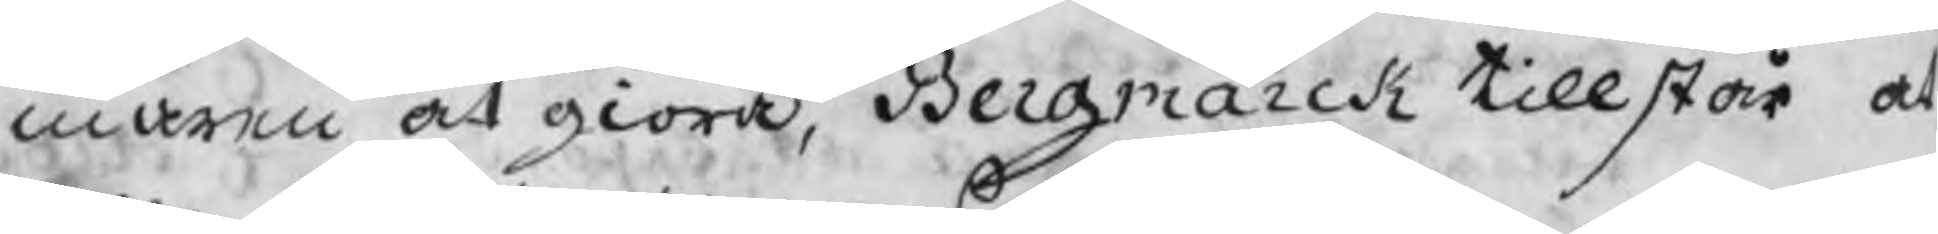maren at giöra, Bergmarck tillstår at
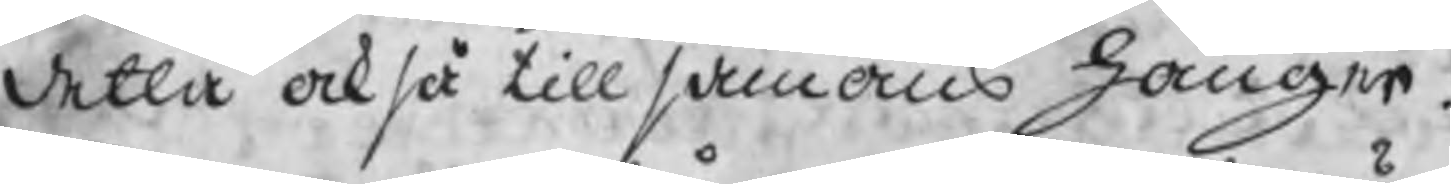detta också till sammans hänger.
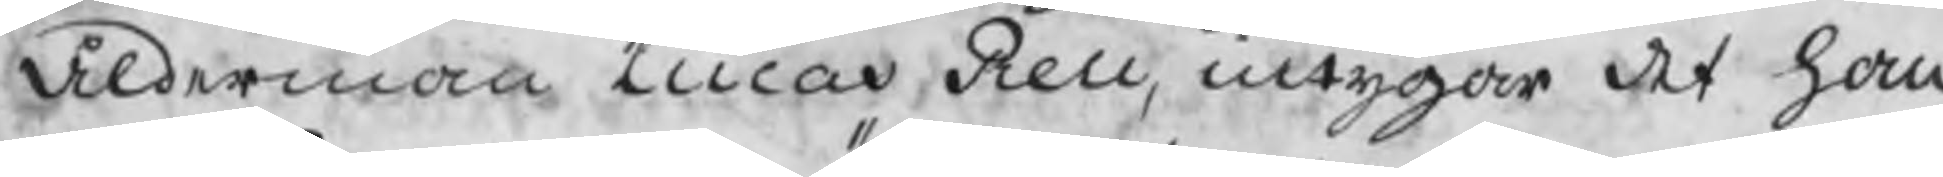Ålderman Lucas Rell, intygar det han
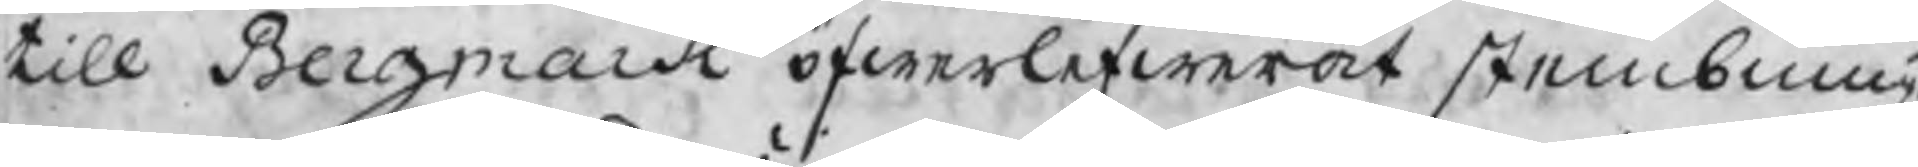till Bergmark öfwerlefwererat stembning
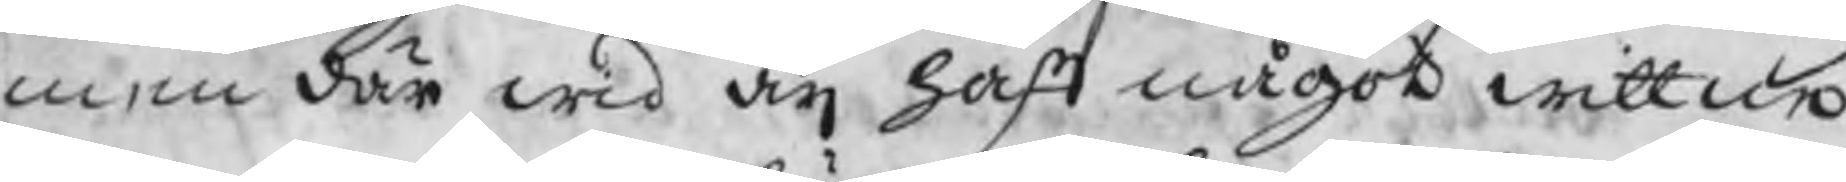men där wid äij haft något wittne
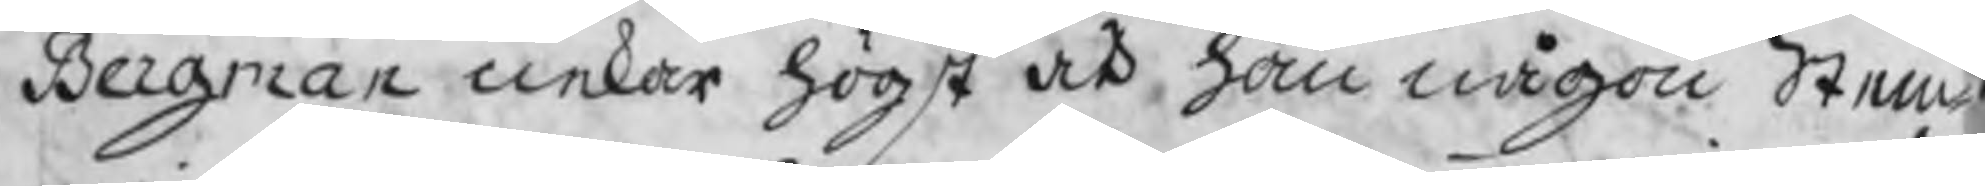Bergman nekar högst at han någon Stem
